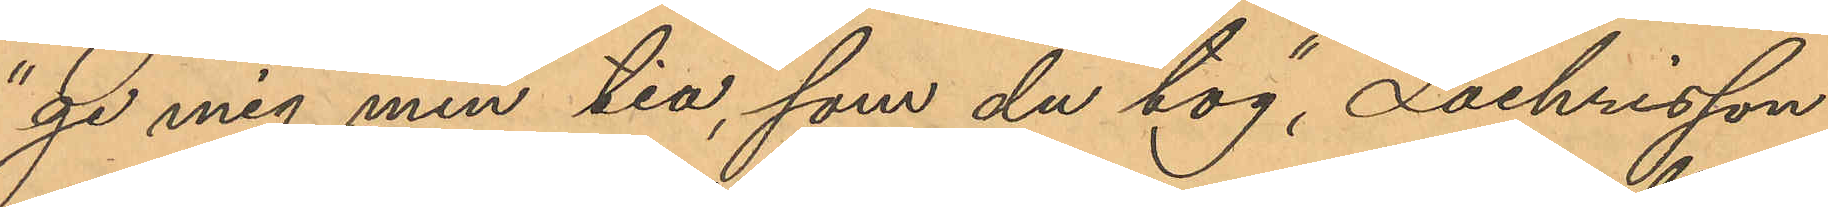"ge mig min tia, som du tog", Zachrisson
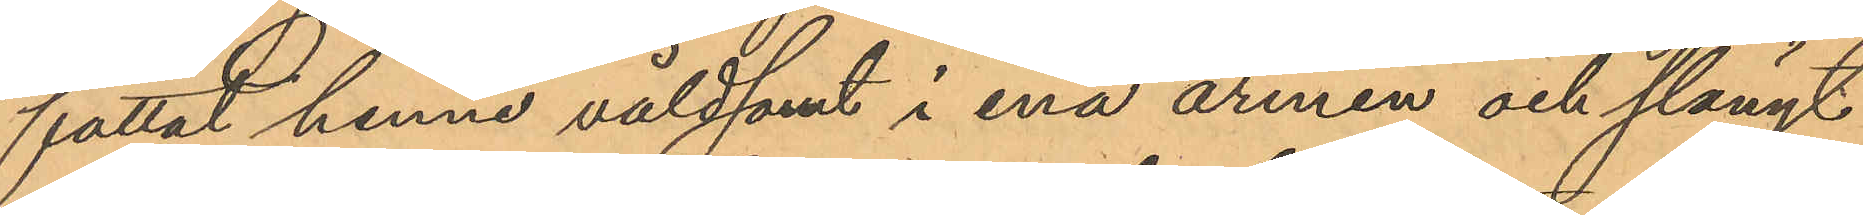fattat henne våldsamt i ena armen och slängt
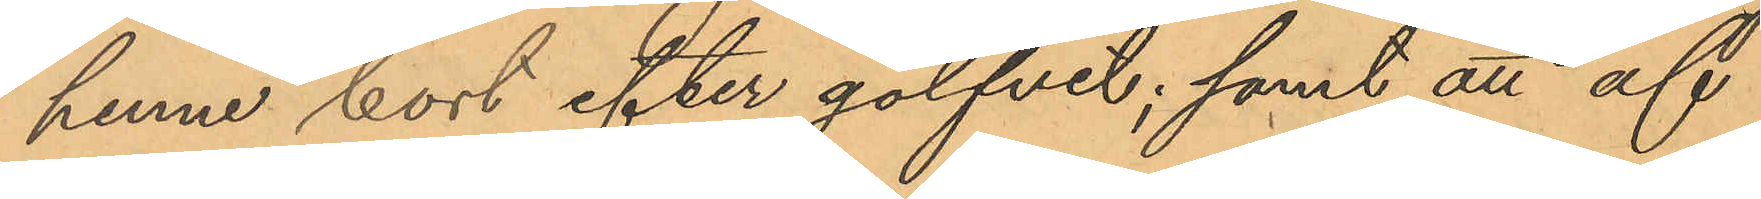henne bort efter golfvet; samt att af
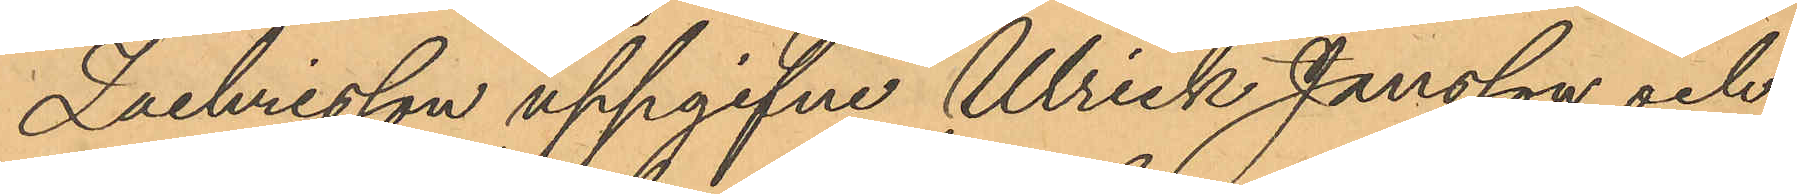Zachrisson uppgifne Ulrick Jansson och
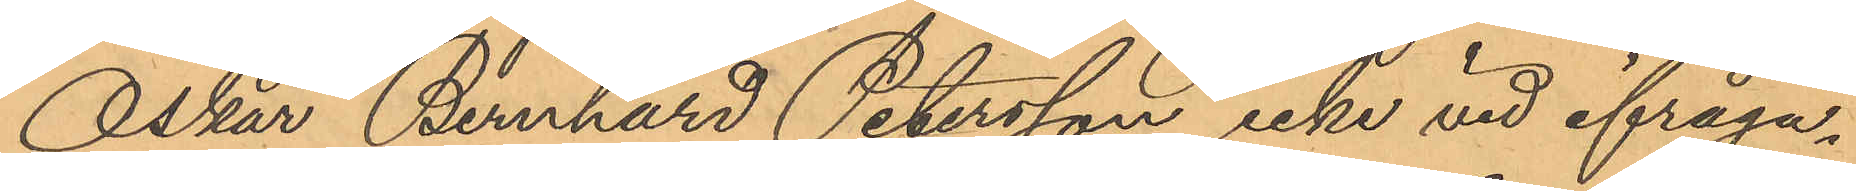Oskar Bernhard Petersson icke vid ifråga¬
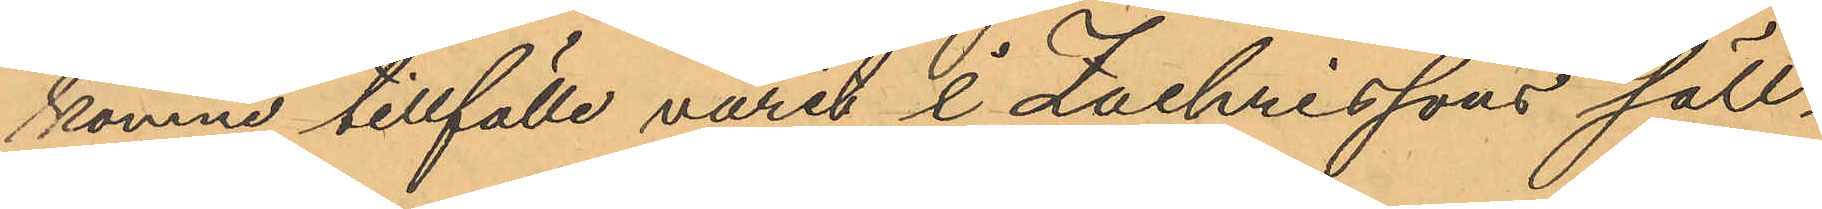komne tillfälle varit i Zachrissons säll¬
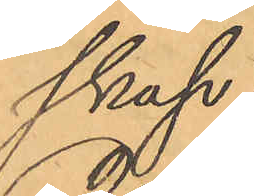skap;
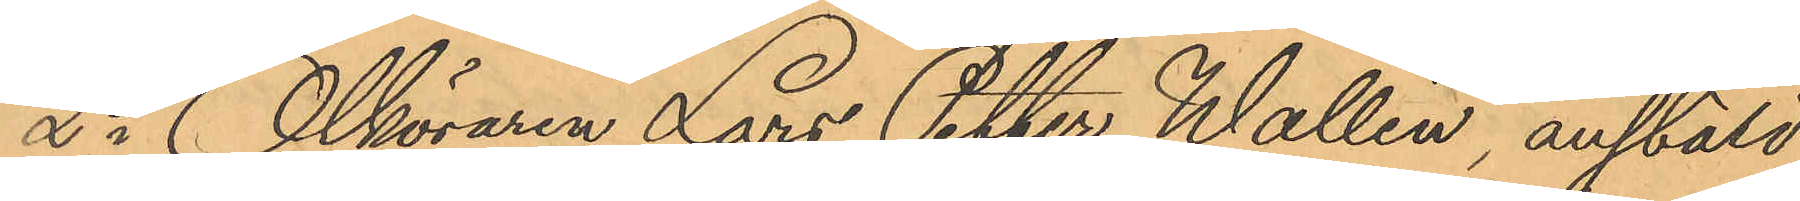2o Ölköraren Lars Petter Wallin, anstäld
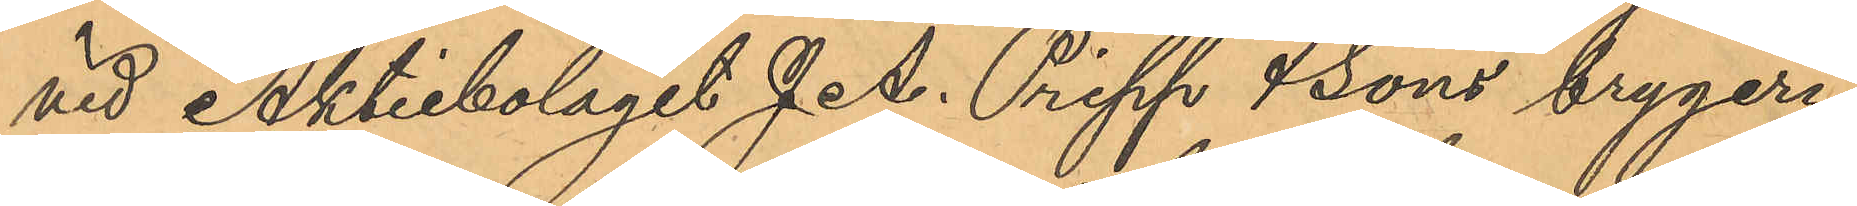vid Aktiebolaget J. A. Pripp & sons brygeri:
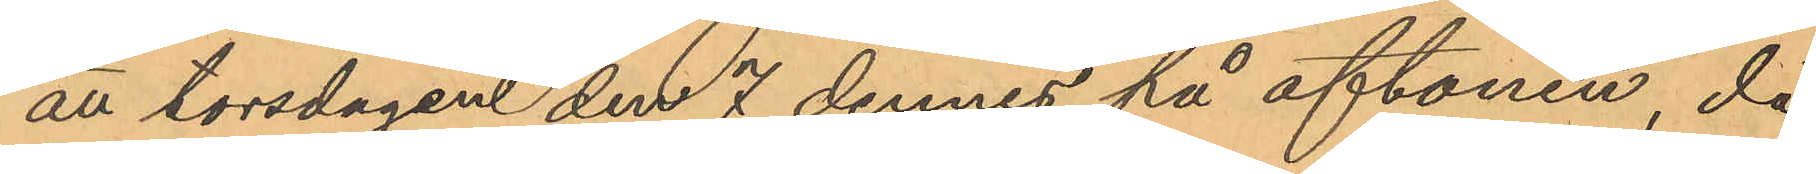att torsdagen den 7 dennes på aftonen, då
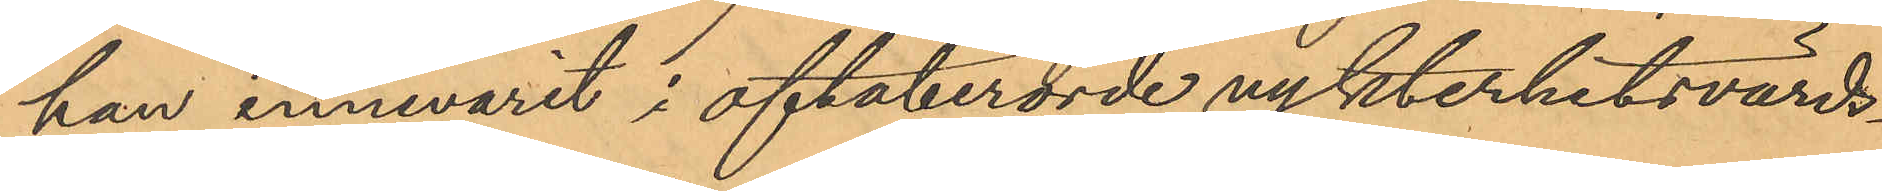han innevarit i oftaberörde nykterhetsvärds¬
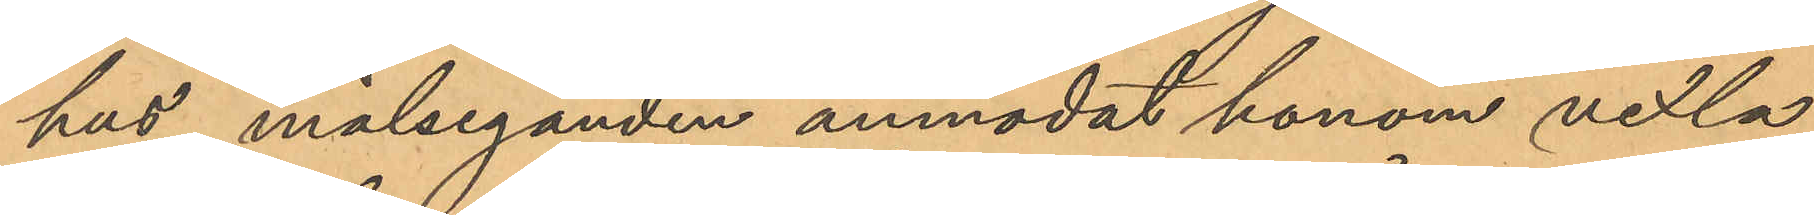hus målseganden anmodat honom vexla
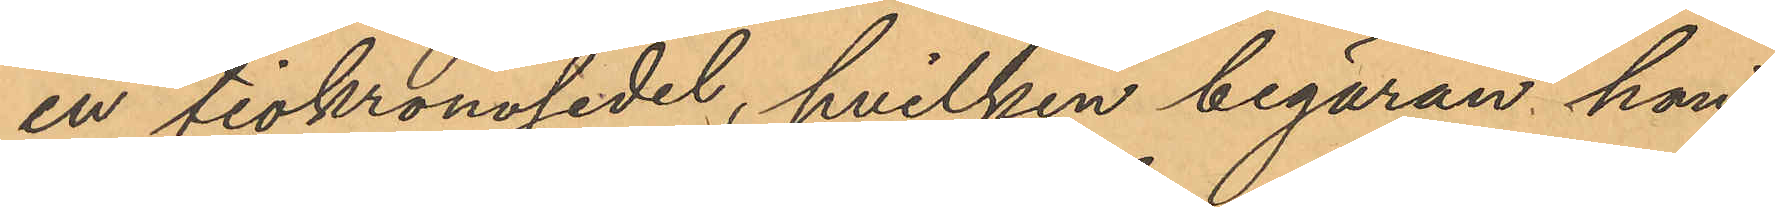en tiokronosedel, hvilken begäran han
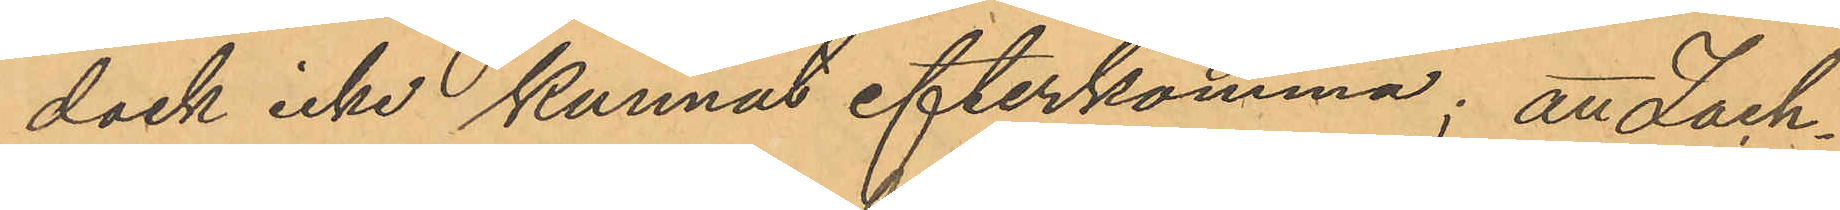dock icke kunnat efterkomma; att Zach¬
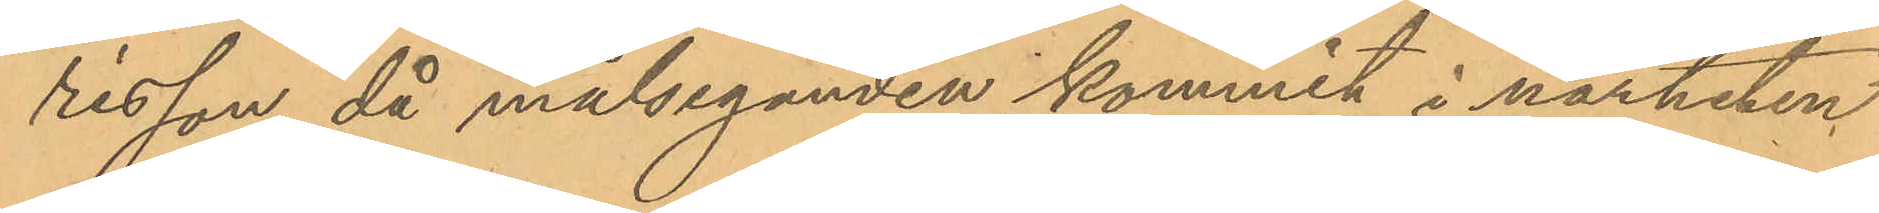risson då målseganden kommit i närheten
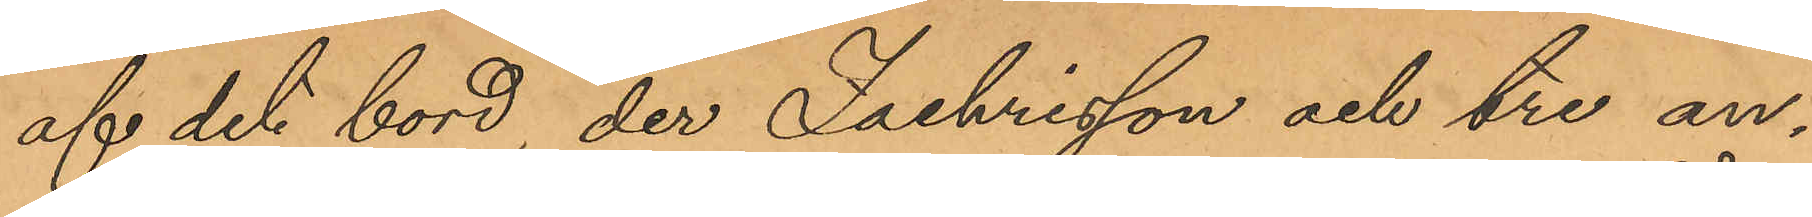af det bord, der Zachrisson och tre an¬
